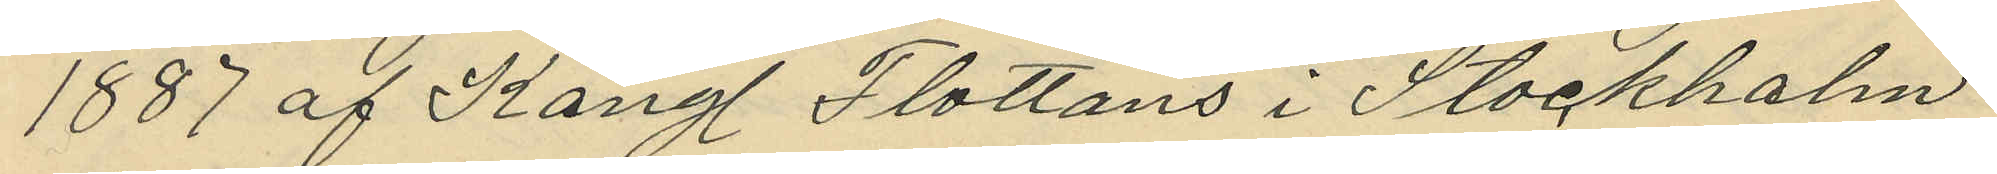1887 af Kong. Flottans i Stockholm
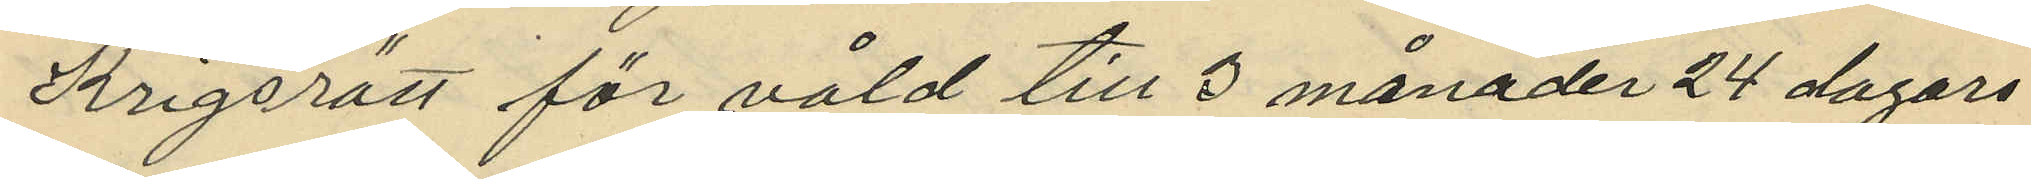Krigsrätt för våld till 3 månader 24 dagar
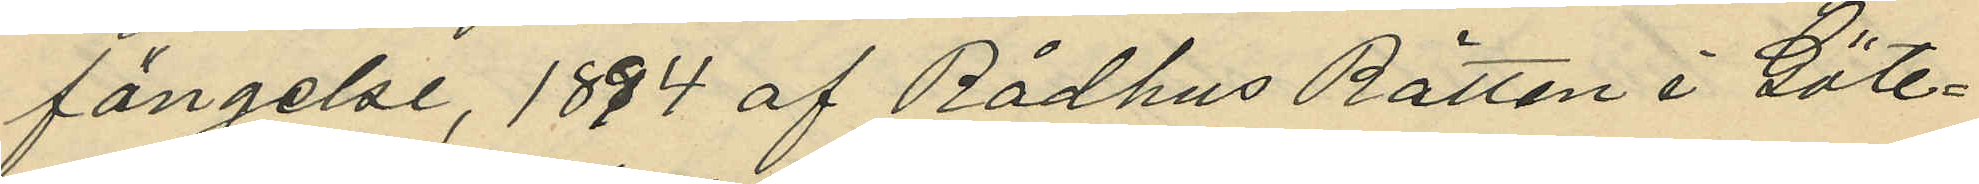fängelse, 1894 af Rådhus Rätten i Göte¬
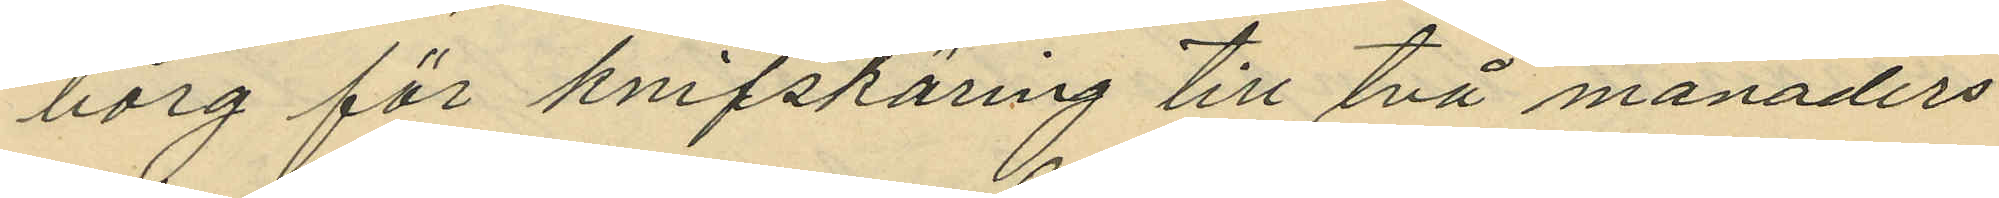borg för knifskäring till två månaders
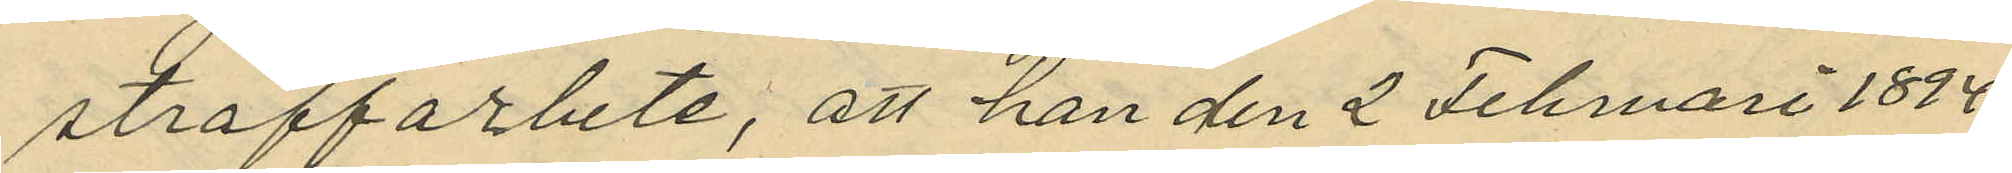straffarbete, att han den 2 Februari 1894
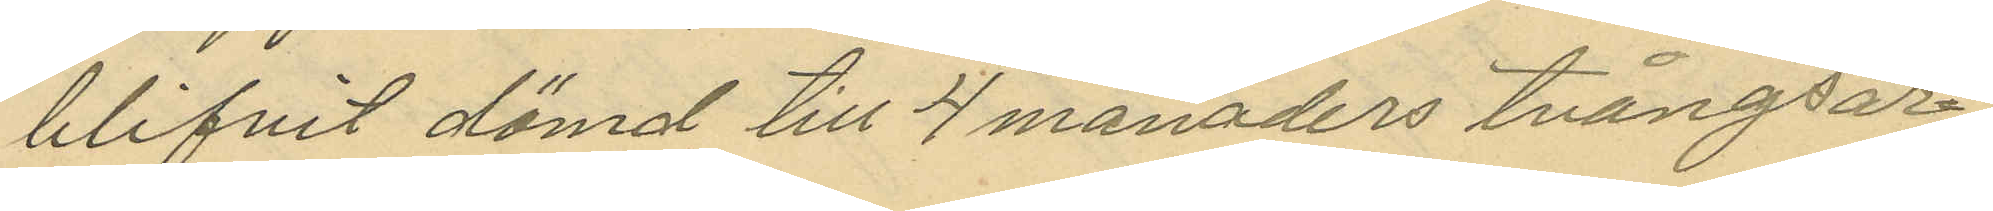blifvit dömd till 4 månaders tvångsar¬
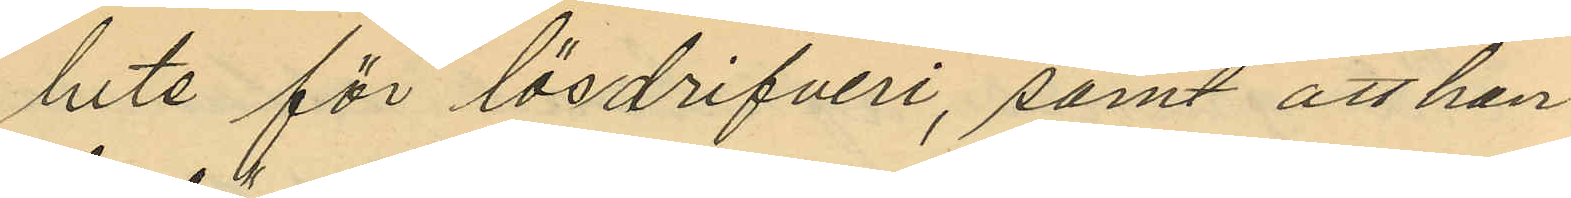bete för lösdrifveri, samt att han
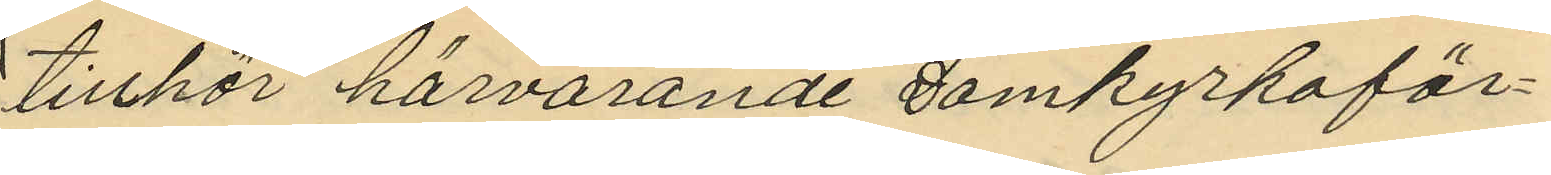tillhör härvarande Domkyrkoför¬
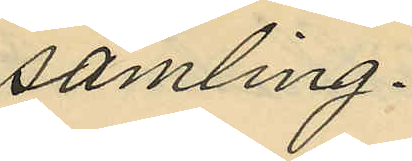samling.
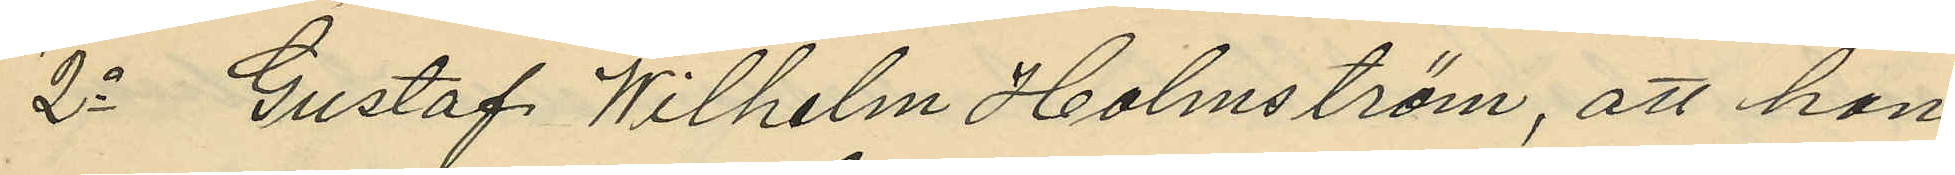2o Gustaf Wilhelm Holmström, att han
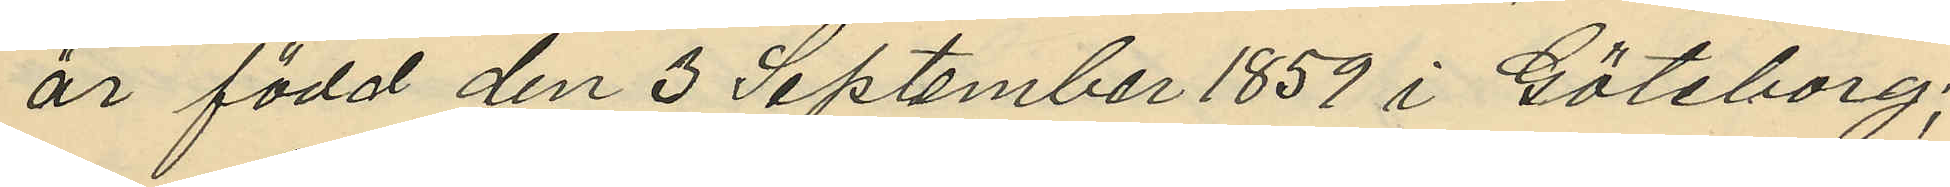är född den 3 September 1859 i Göteborg;
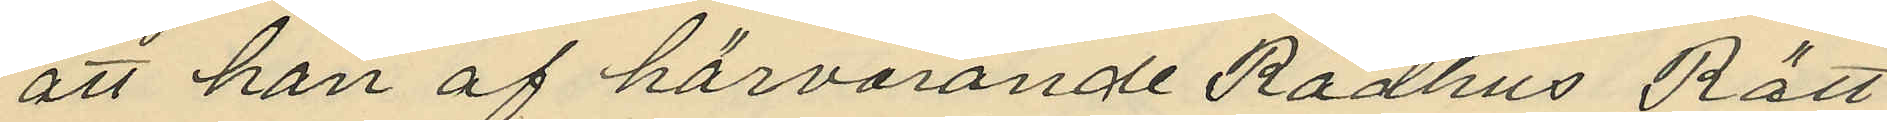att han af härvarande Rådhus Rätt
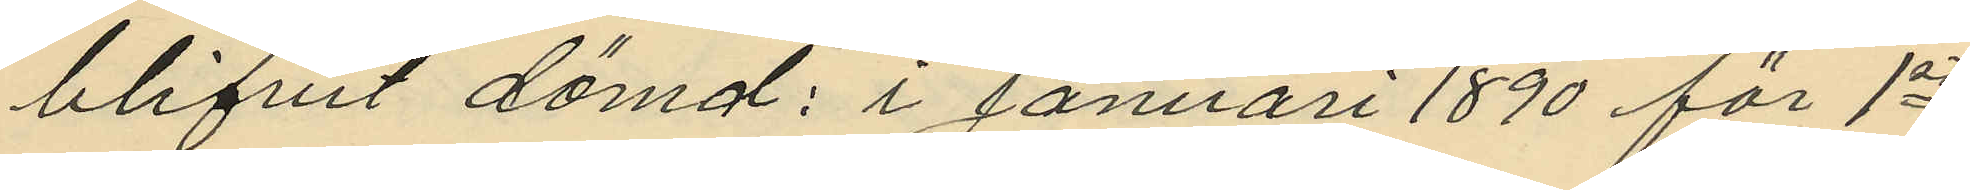blifvit dömd: i januari 1890 för 1sta
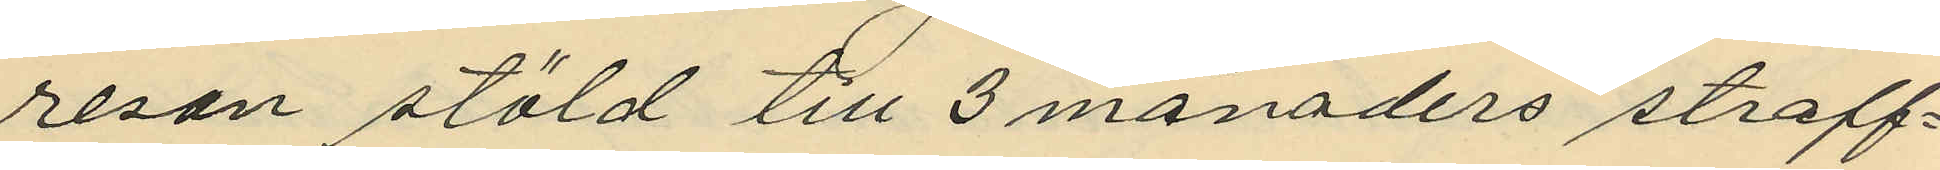resan stöld till 3 månaders straff¬
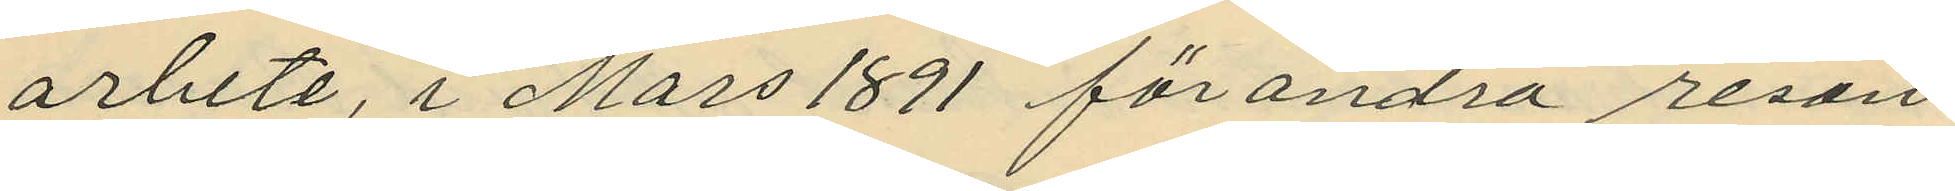arbete, i Mars 1891 för andra resan
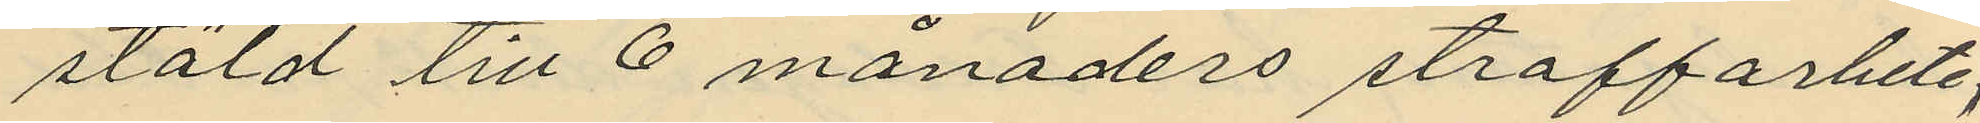stöld till 6 månaders straffarbete;
